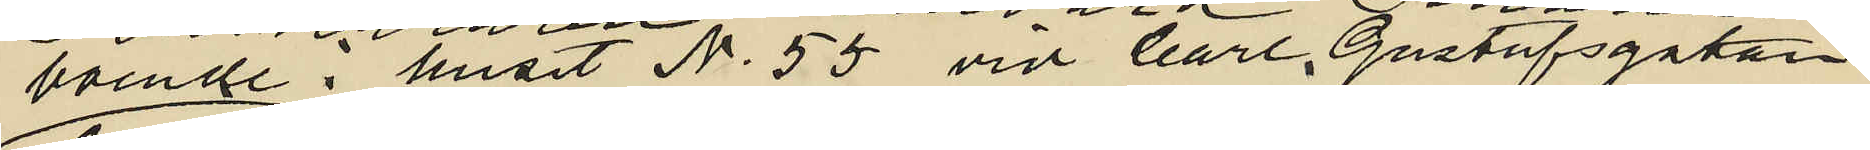boende i huset No 55 vid Carl Gustafsgatan
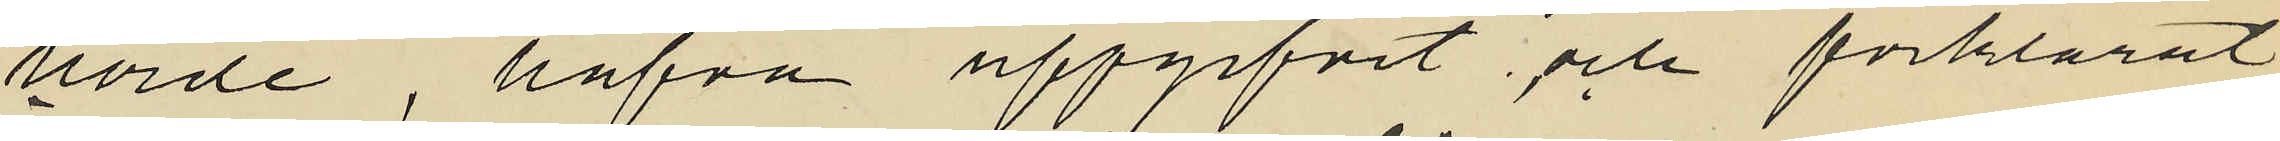horde, hafva uppgifvit och förklarat
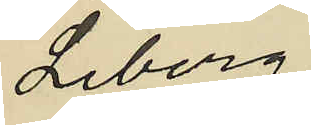Liberg
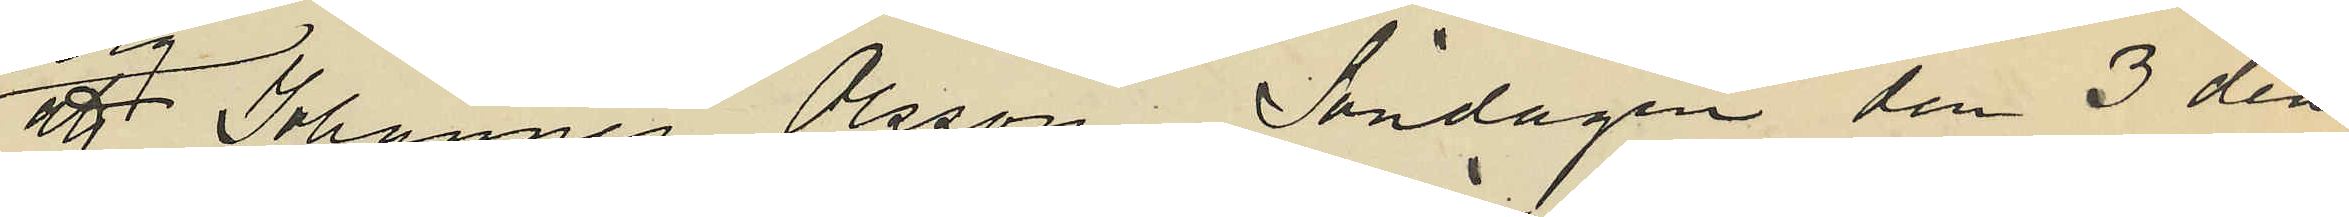att Johannes Olsson Söndagen den 3 den¬
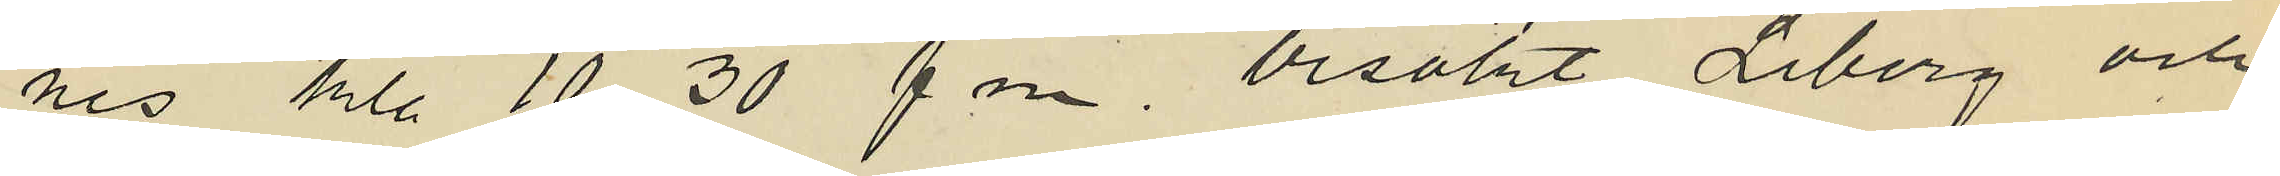nes kl. 10.30 f m. besökt Liberg och
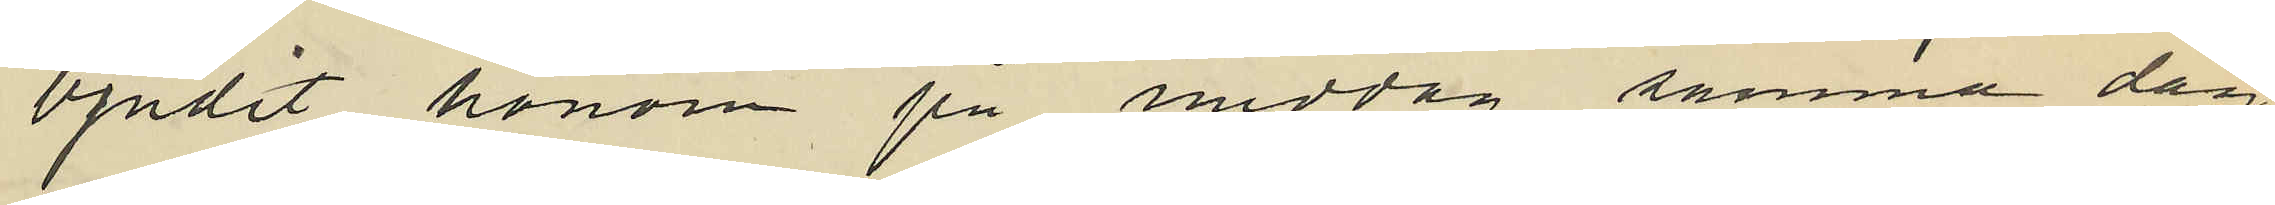bjudit honom på middag samma dag,
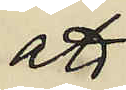att
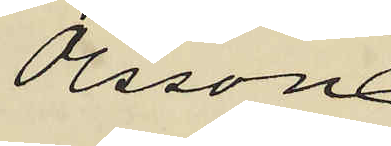Olsson
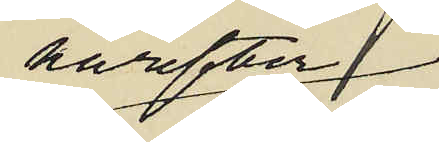härefter
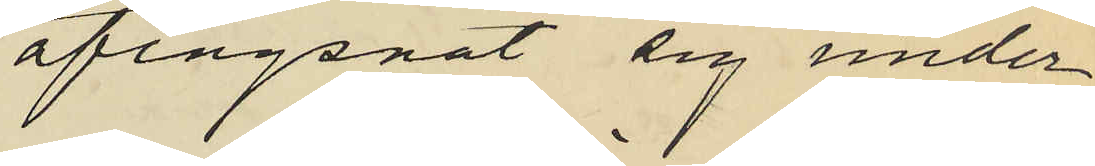aflägsnat sig under
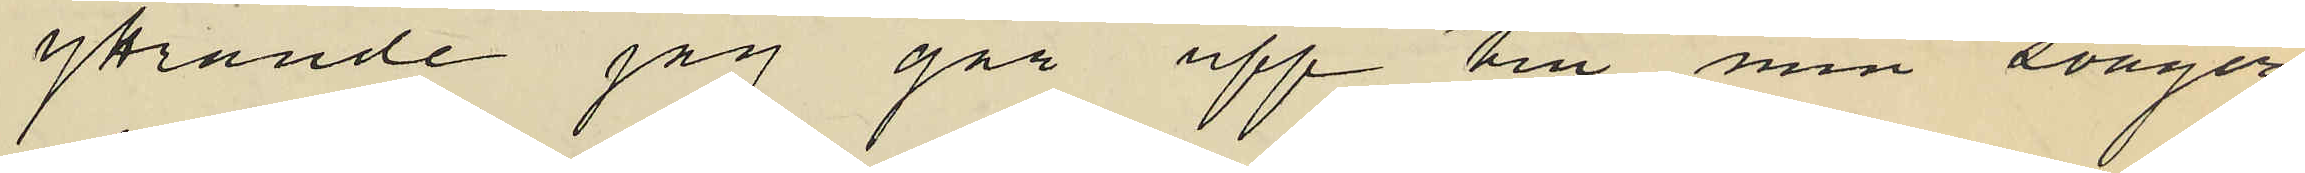yttrande "jag går upp till min svåger
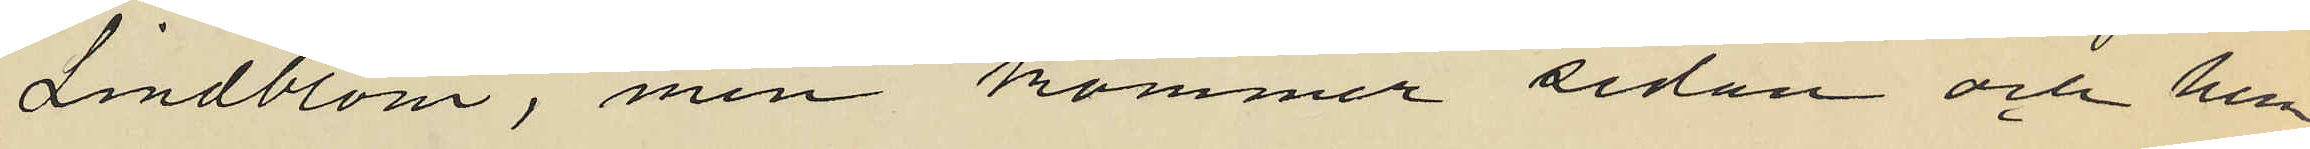Lindblom, men kommer sedan och hem¬
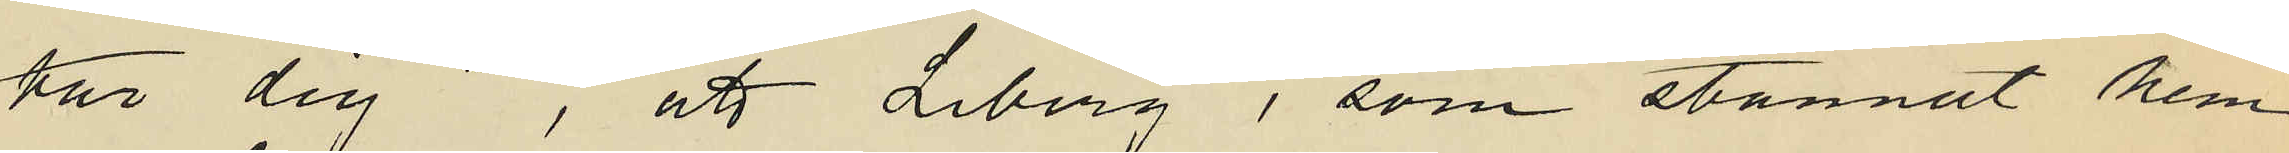tar dig", att Liberg, som stannat hem
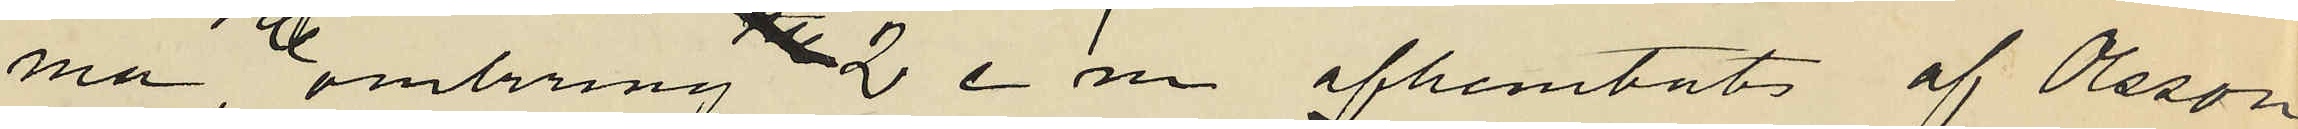ma omkring 2 e m. afhemtats af Olsson
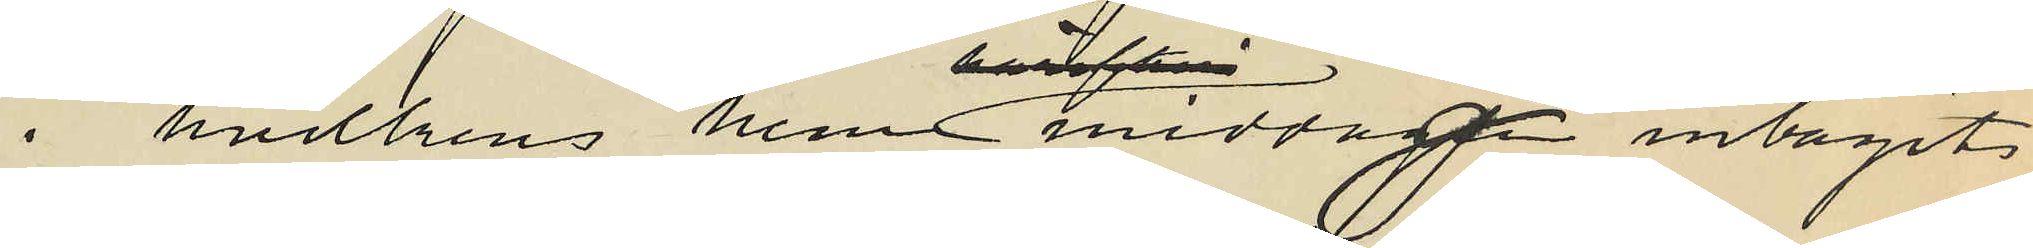i hvilkens hem middagen middagen intagits
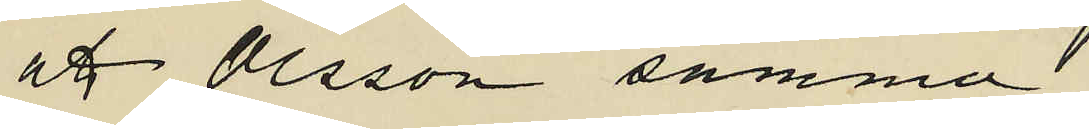att Olsson samma
